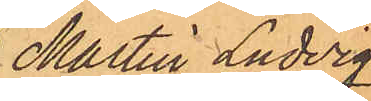Martin Ludvig
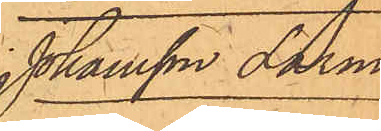Johansson Larm.
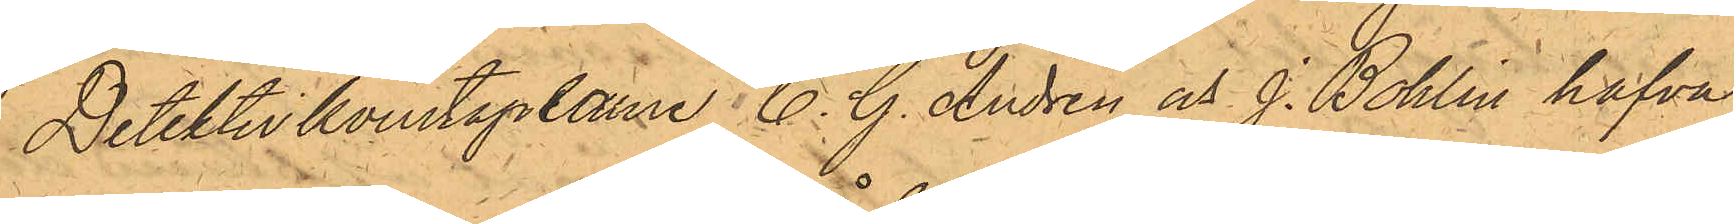Detektivkonstaplarne C. G. Andrén och J. Bohlin hafva
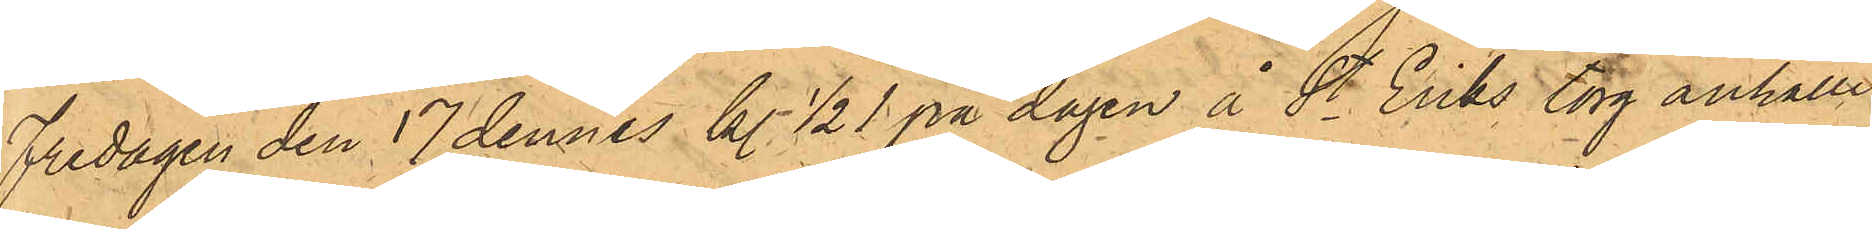Fredagen den 17 dennes kl. 1/2 1 på dagen å St. Eriks torg anhållit
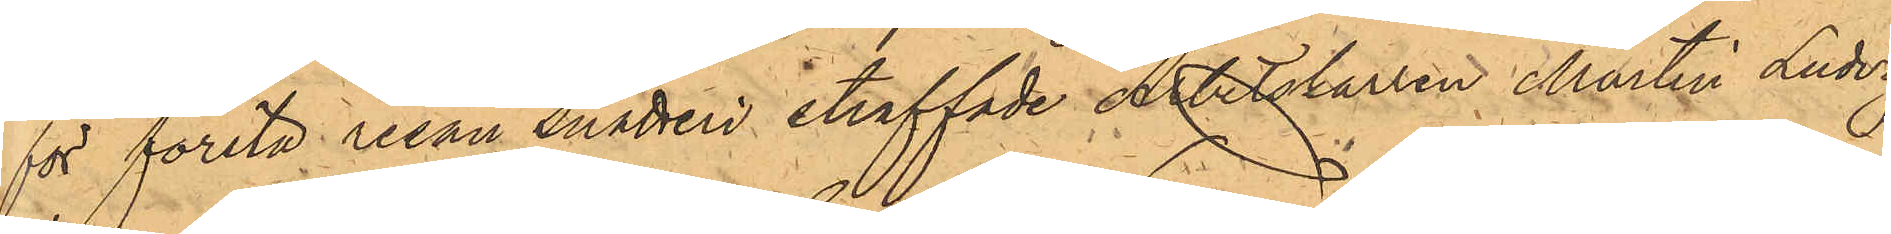för första resan snatteri straffade Arbetskarlen Martin Ludvig
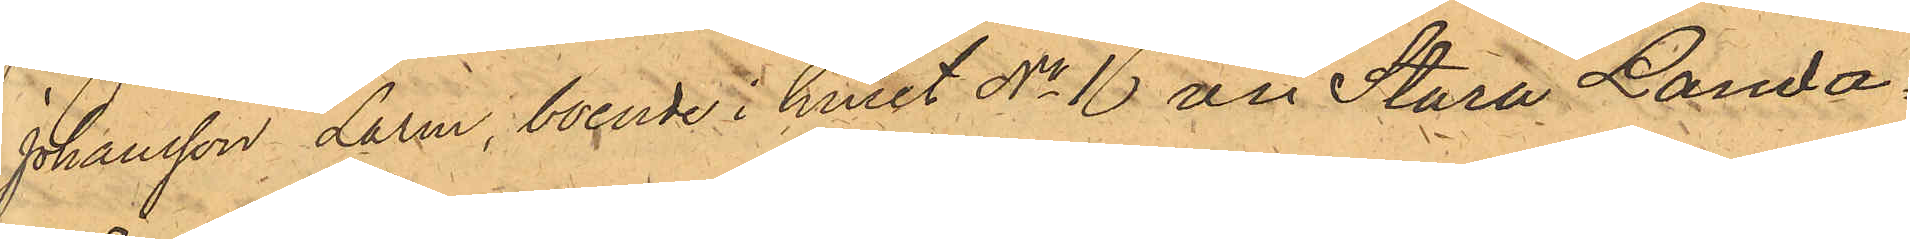Johansson Larm, boende i huset No 16 av Stora Landa¬
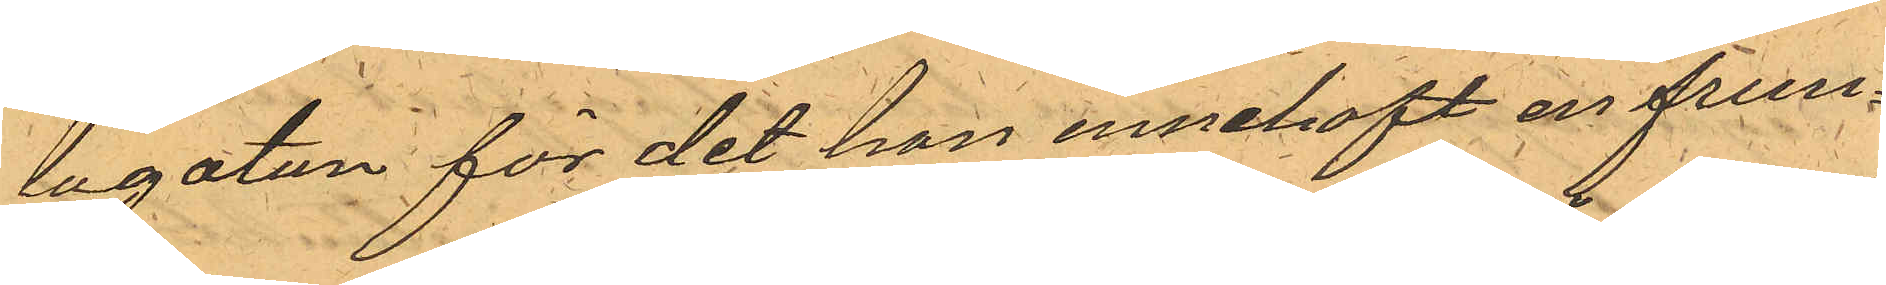lagatan för det han innehaft en frun¬
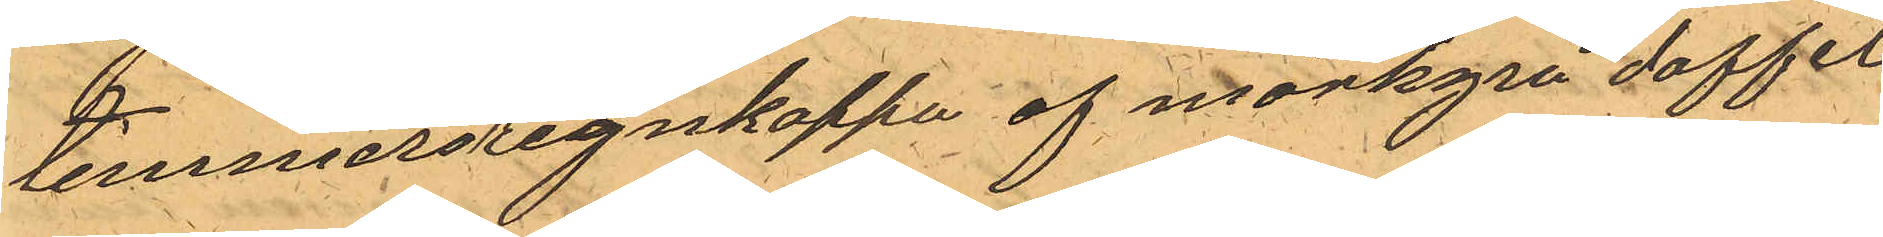timmersregnkappa af mörkgrå doffel
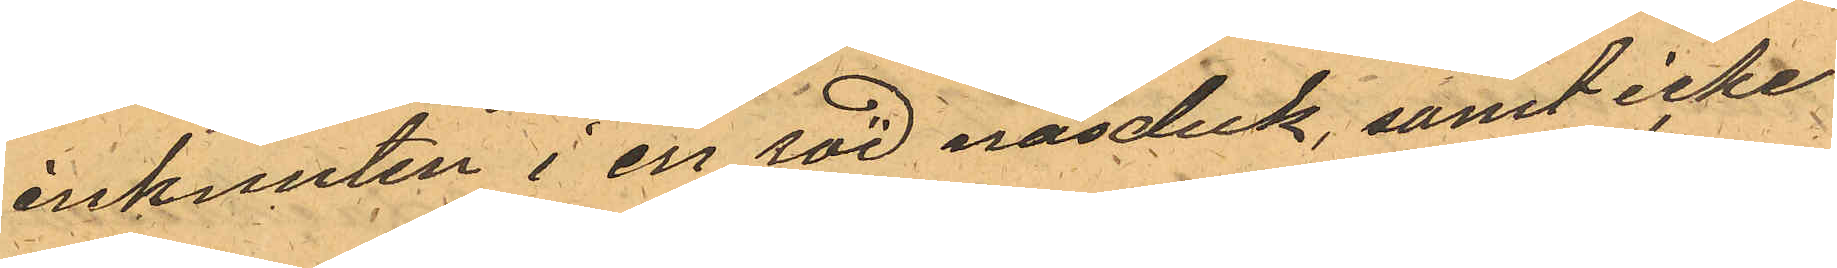inknuten i en röd näsduk, samt icke
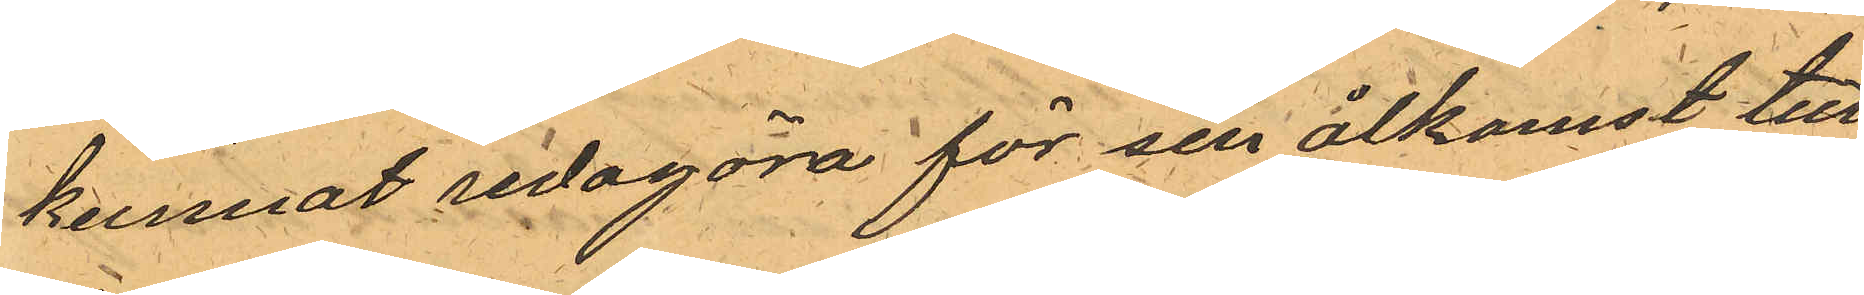kunnat redogöra för sin åtkomst till
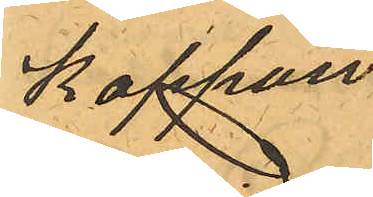kappan.
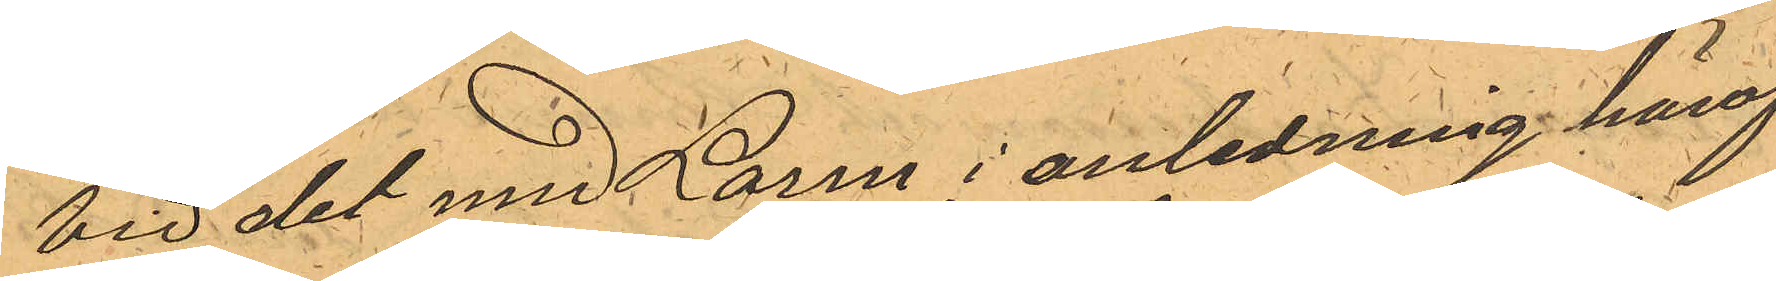Vid det med Larm i anledning häraf
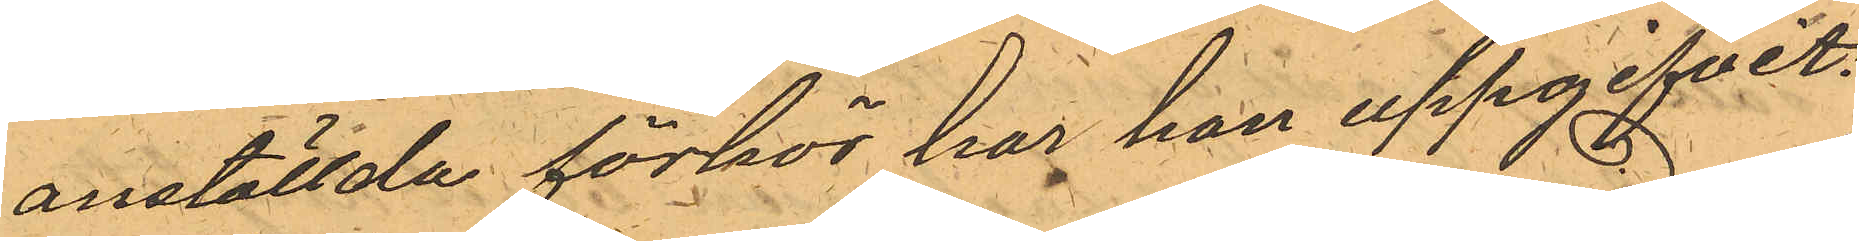anställda förhör har han uppgifvit:
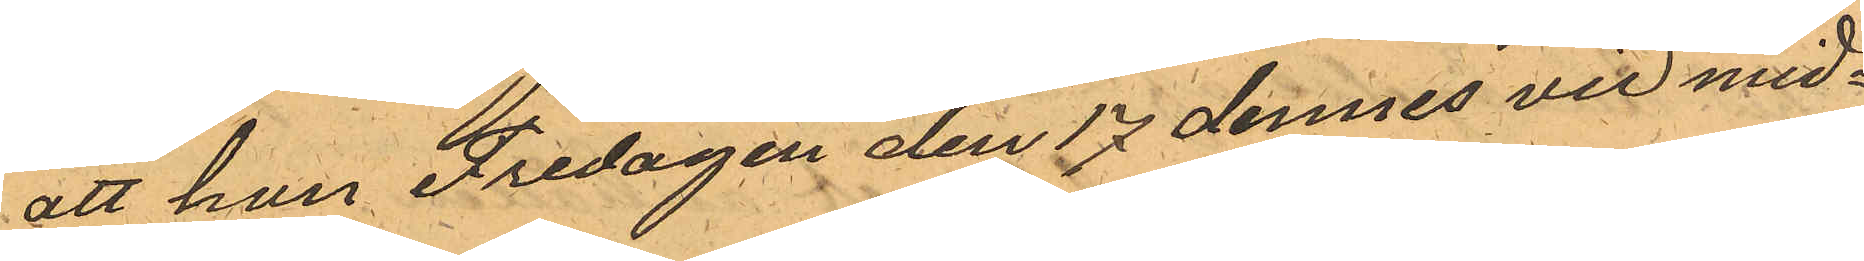att han Fredagen den 17 dennes vid mid¬
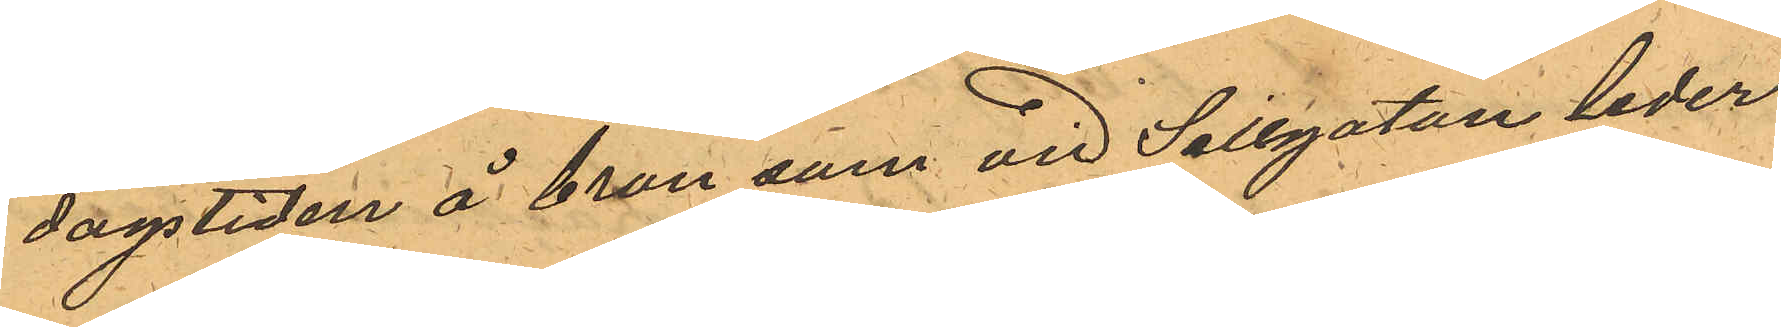dagstiden å bron som vid Sillgatan leder
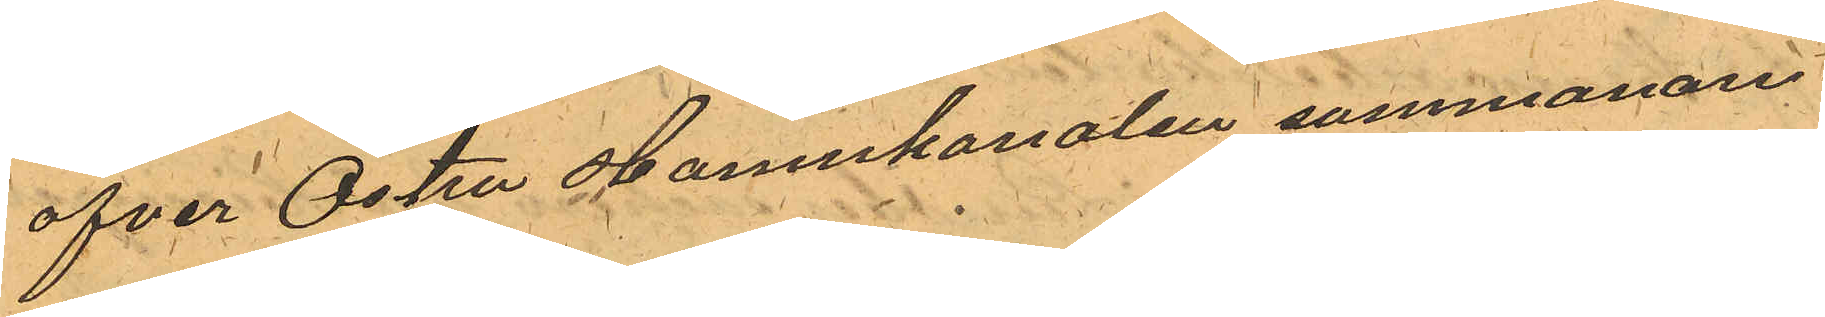öfver Östra Hamnkanalen sammanan¬
